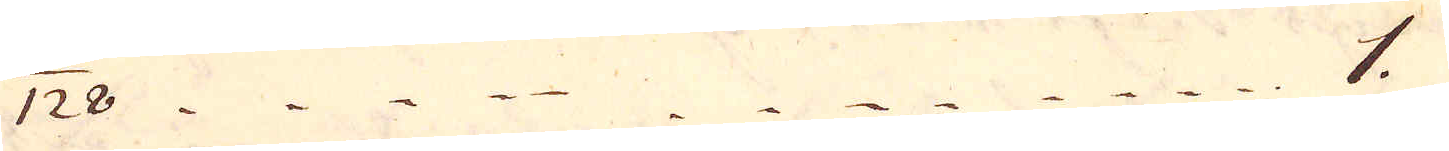1/128 1.
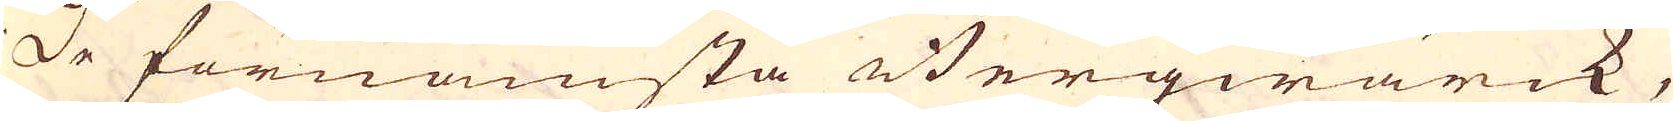De förnämsta Bergwärck,
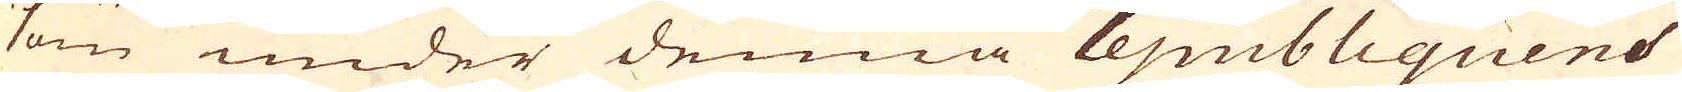som under denna Republiquens
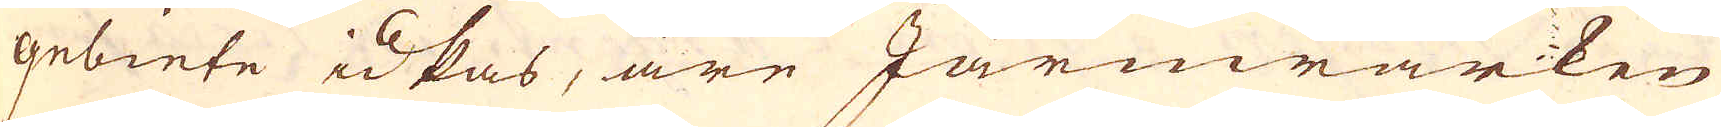gebiete idkas, äre Järnwärken
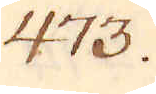473.
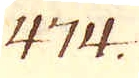474.
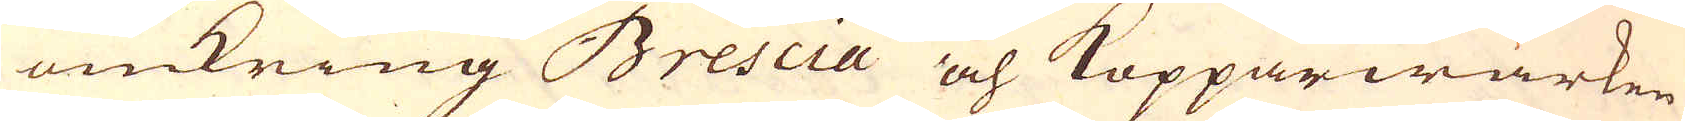omkring Brescia och Kopparwärken
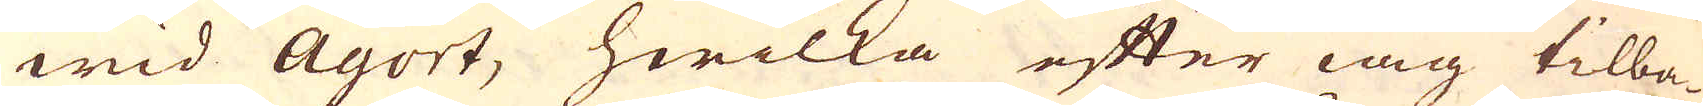wid Agort, hwilka efter iag tilba-
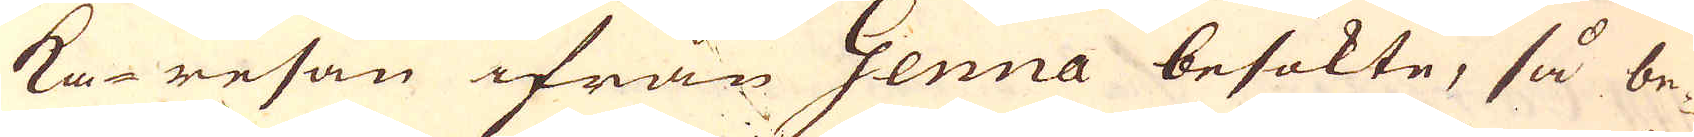ka-resan ifrån Genua besökte, så be-
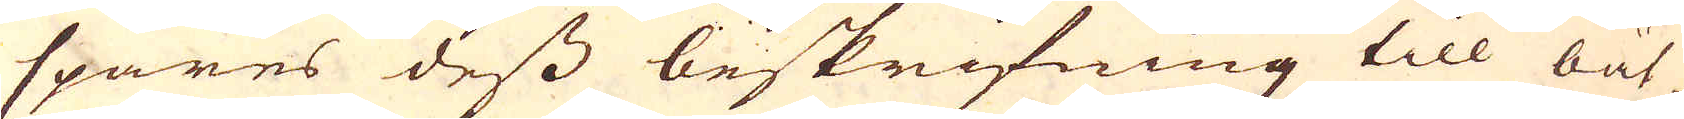spares dess beskrifning till bät-
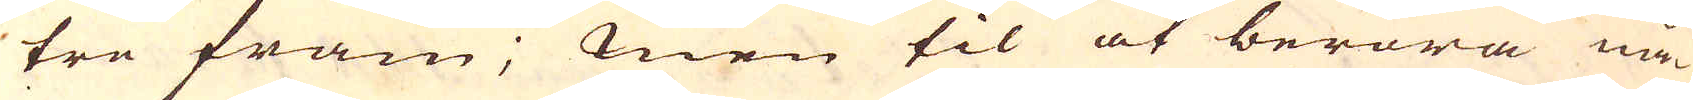tre fram; men til at beröra nå-
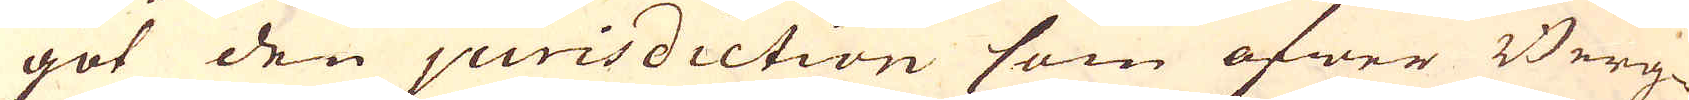got den jurisdiction som öfwer Berg-
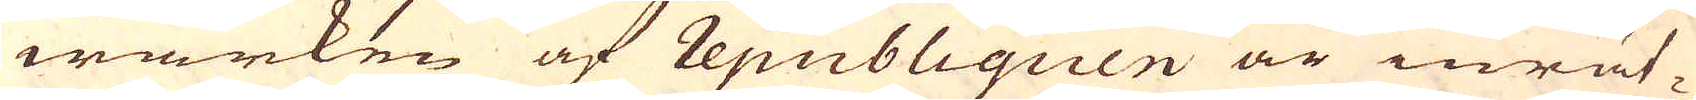wärken af Republiquen är inrät-
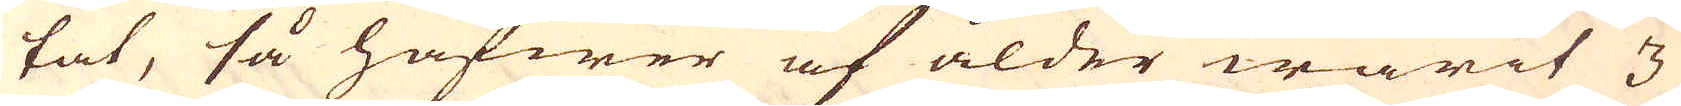tat, så hafwer af ålder warit 3
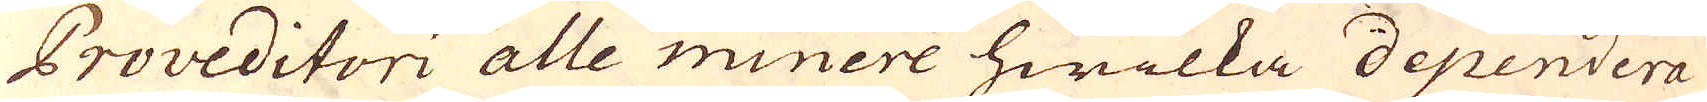Proveditori alle minere hwilka dependera
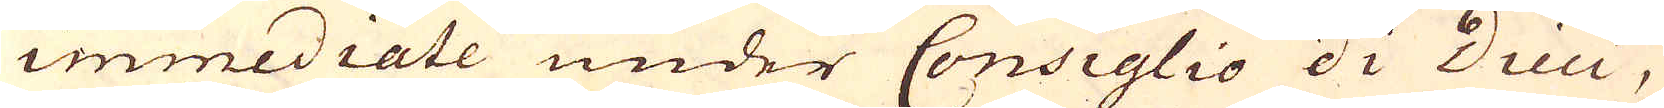immediate under Consiglio di Dieci,
